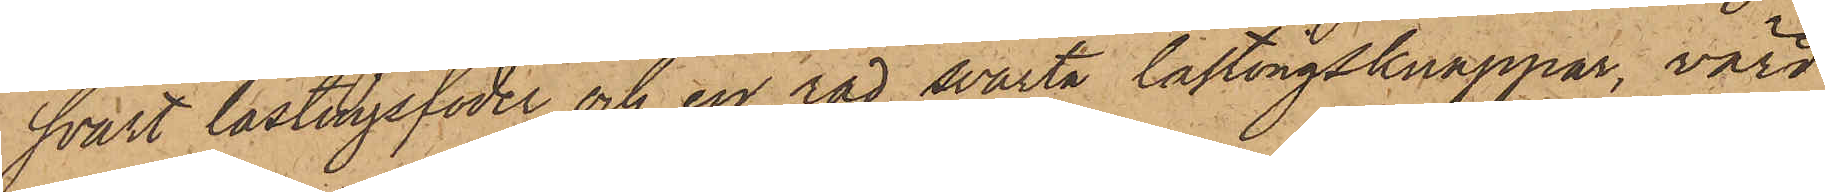svart lastingsfoder och en rad svarta lastingsknappar, värd
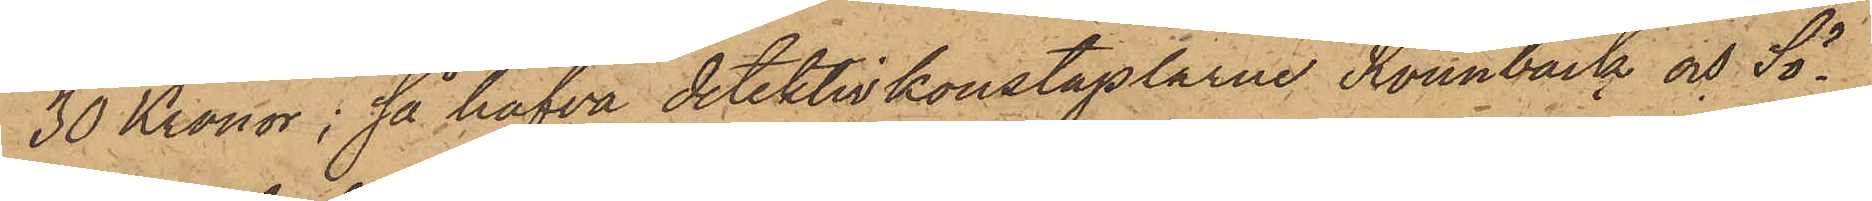30 Kronor; så hafva detektivkonstaplarne Rönnbäck och Sö¬
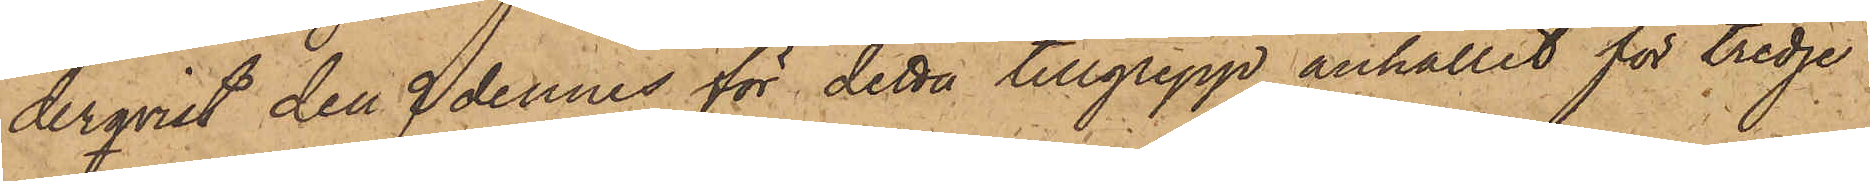derqvist den 9 dennes för detta tillgrepp anhållit för tredje
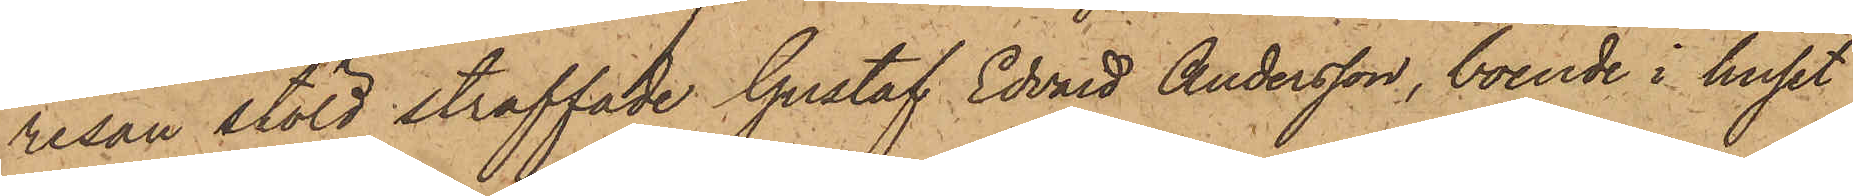resan stöld straffade Gustaf Edvard Andersson, boende i huset
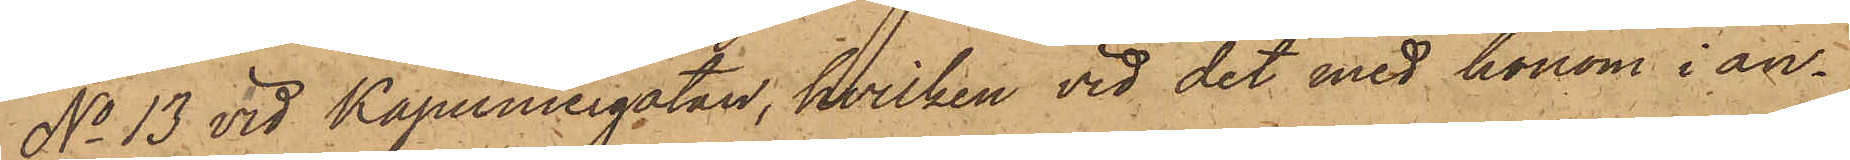No 13 vid Kapuniergatan, hvilken vid det med honom i an¬
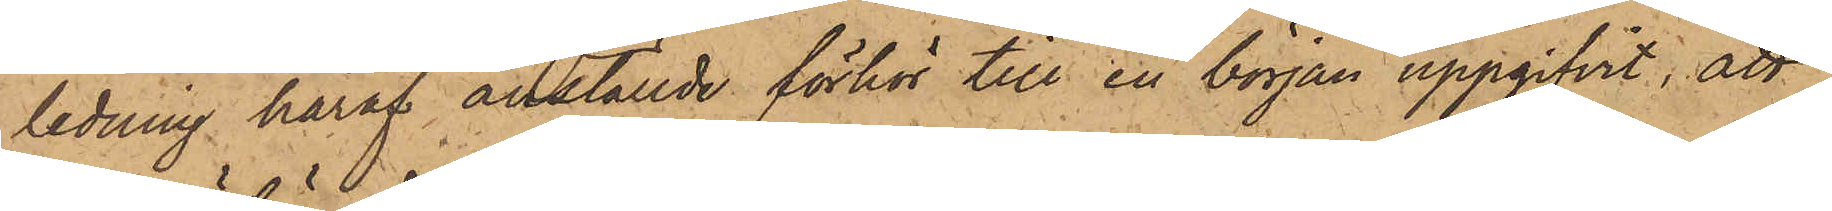ledning häraf anställde förhör till en början uppgifvit, att
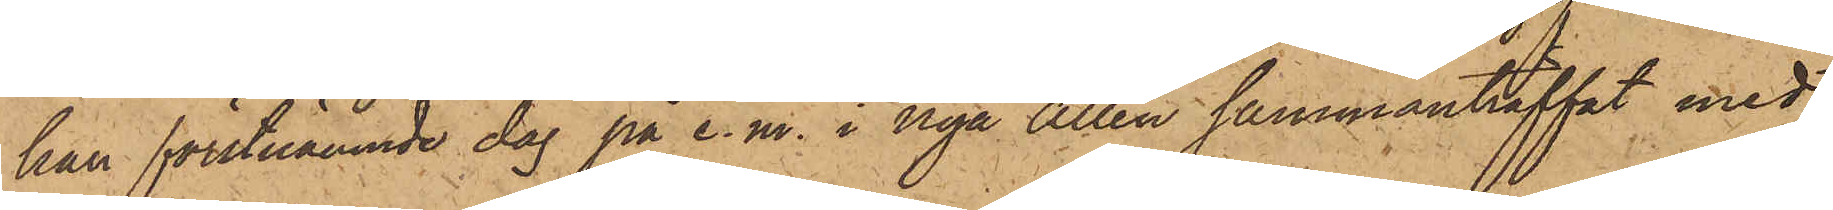han förstnämnde dag på e. m. i nya Allén sammanträffat med
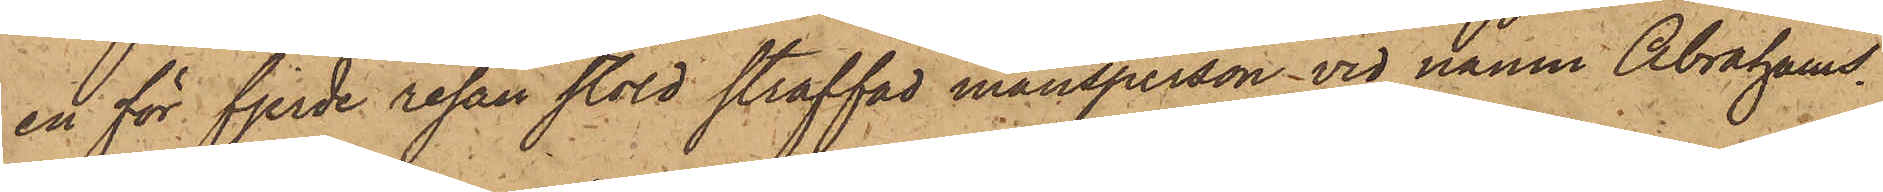en för fjerde resan stöld straffad mansperson vid namn Abrahams¬
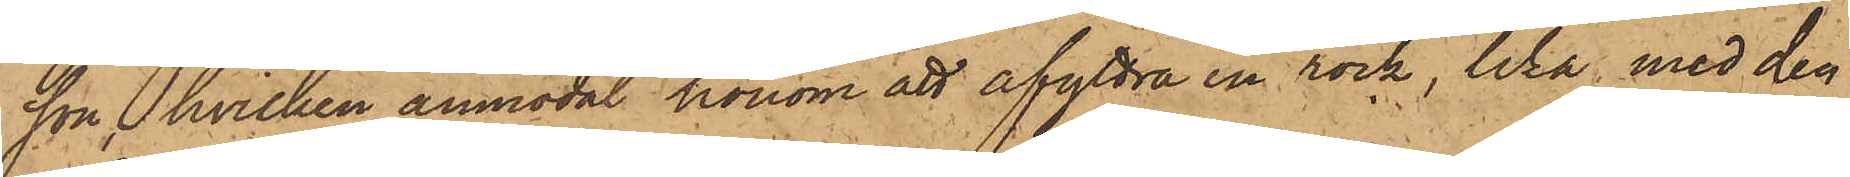son, hvilken anmodat honom att afyttra en rock, lika med den
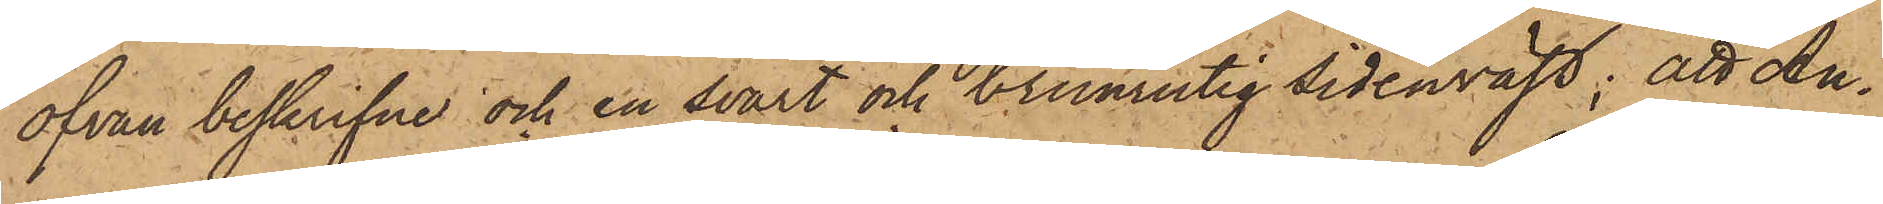ofvan beskrifne och en svart och brunrutig sidenväst; att An¬
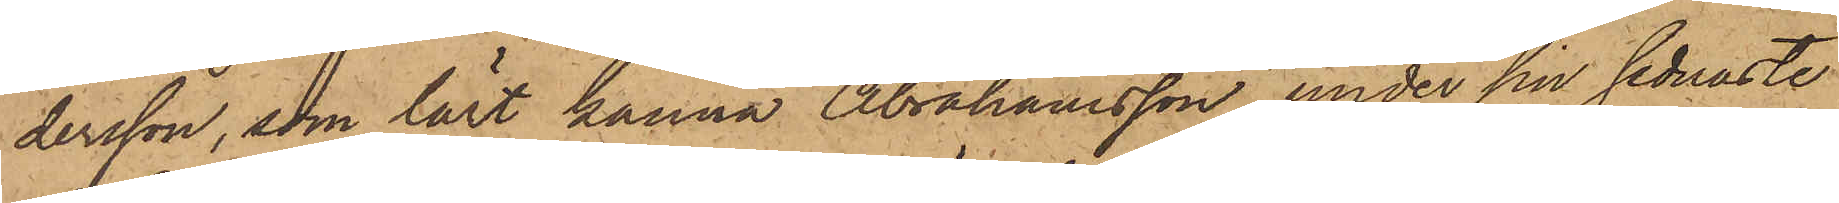dersson, som lärt känna Abrahamsson under sin sednaste
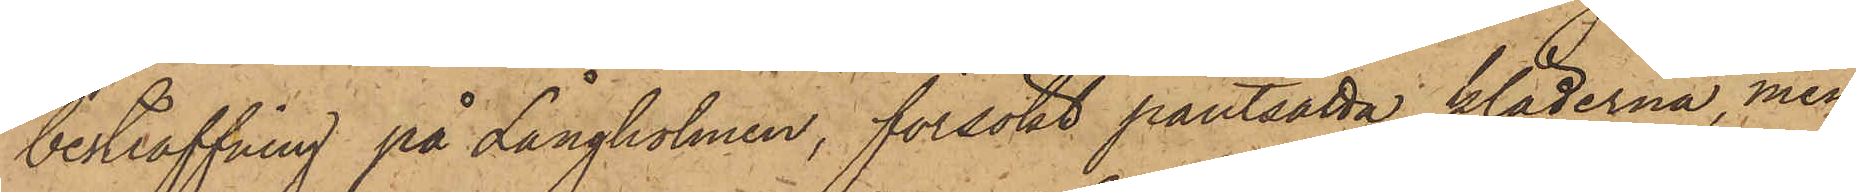bestraffning på Långholmen, försökt pantsatta kläderna, men
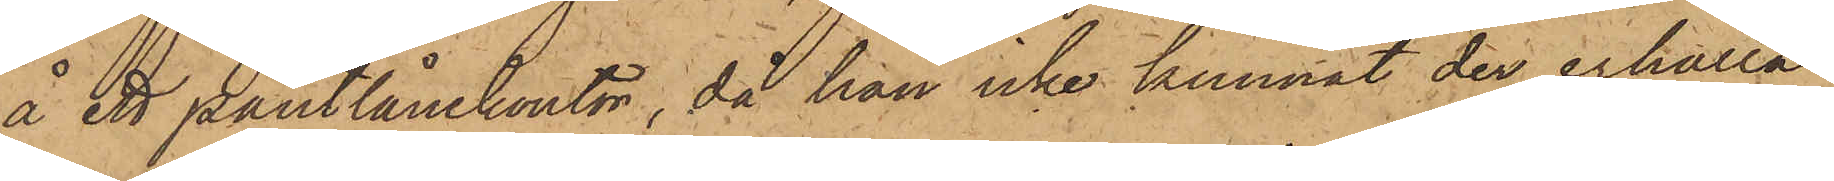å ett pantlånekontor, då han icke kunnat der erhålla
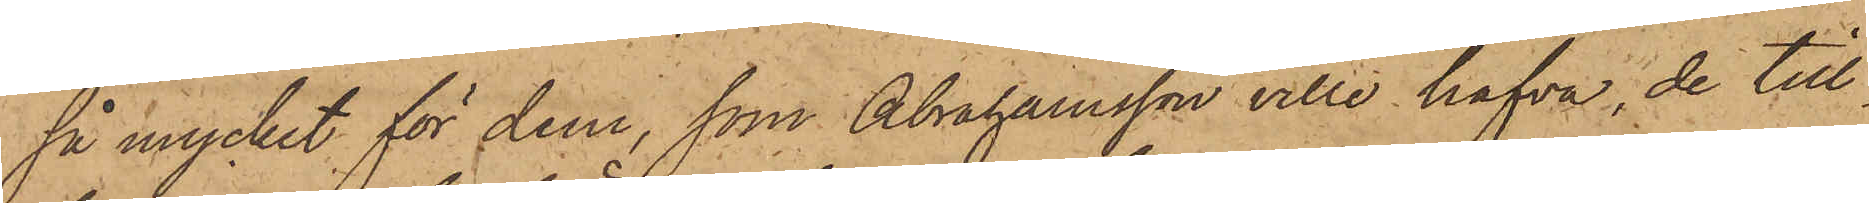så mycket för dem, som Abrahamsson ville hafva, de till¬
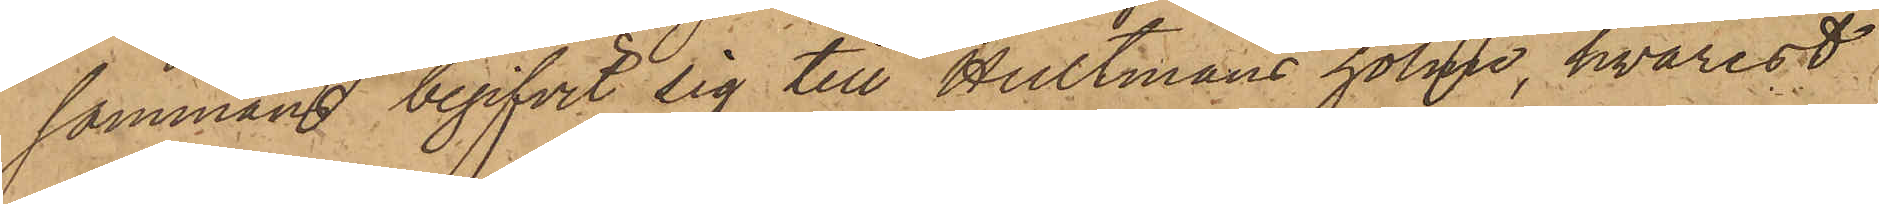sammans begifvit sig till Hultmans holme, hvarest
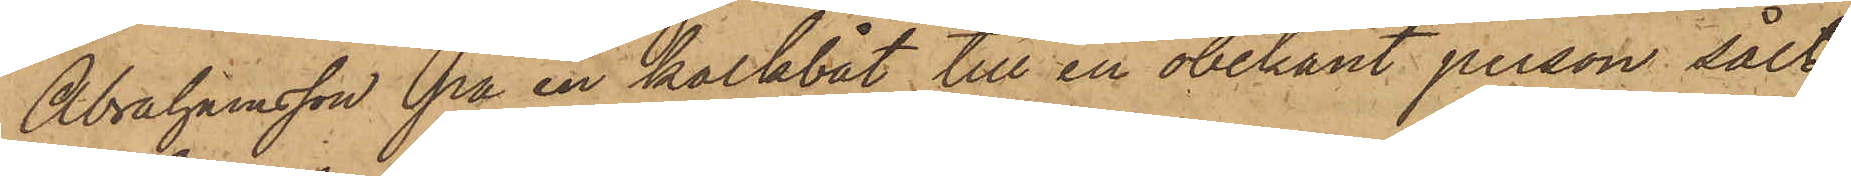Abrahamsson på en kalkbåt till en obekant person sålt
